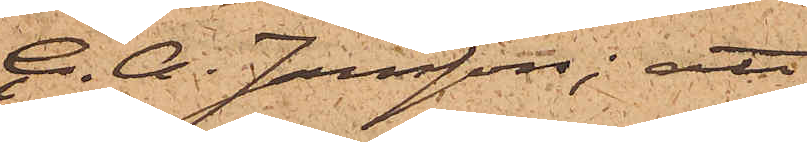C. A. Jansson; att
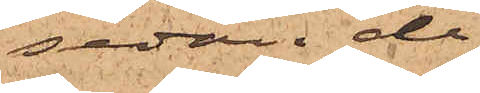sedan de
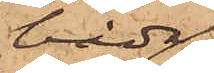båda
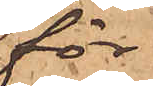för¬
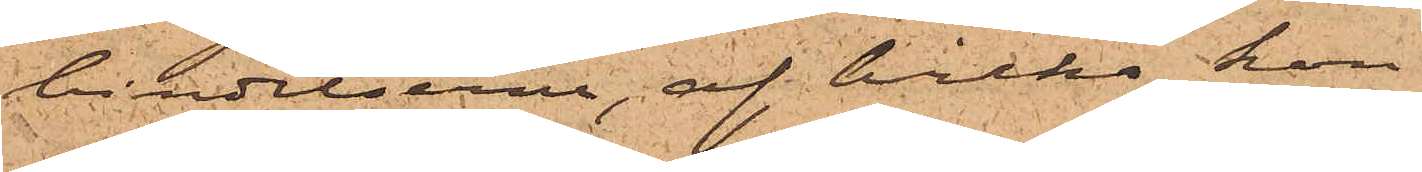bindelserna, af hvilka hon
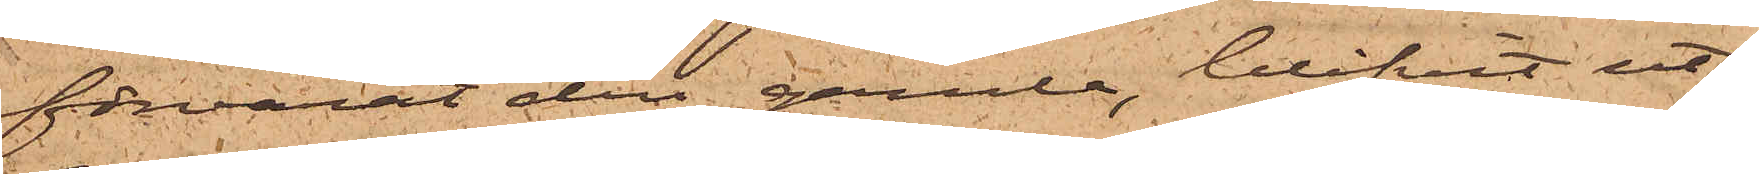förvarat den gamla, blifvit ut¬
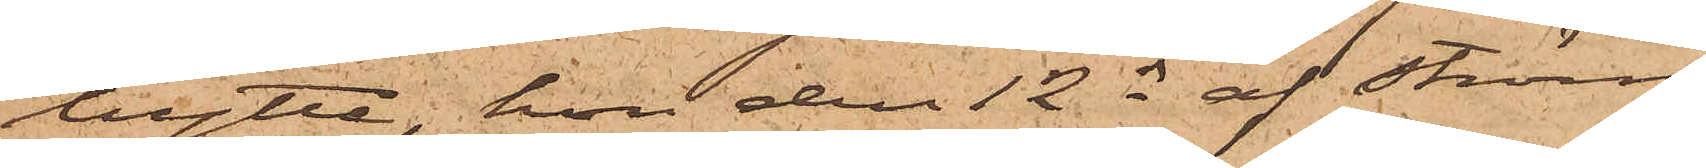bytte, hon den 12 ds af Ström
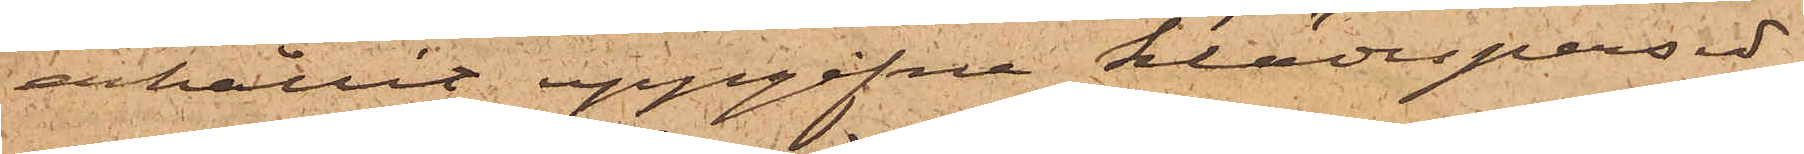erhållit uppgifne klädespersed¬
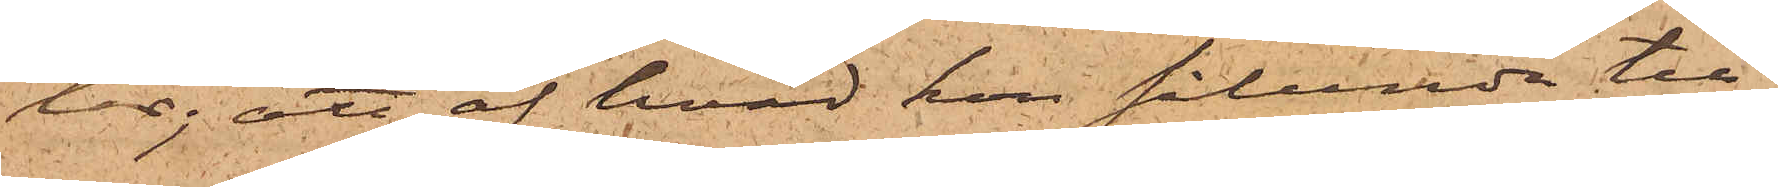lar; att af hvad hon sålunda till¬
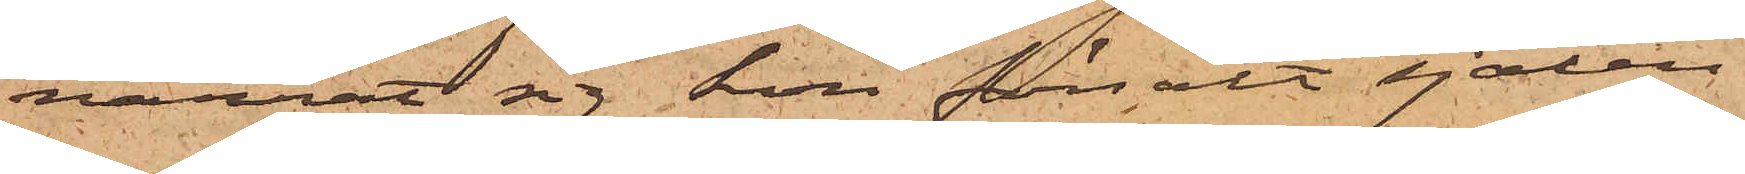narrat sig hon försålt sjalen
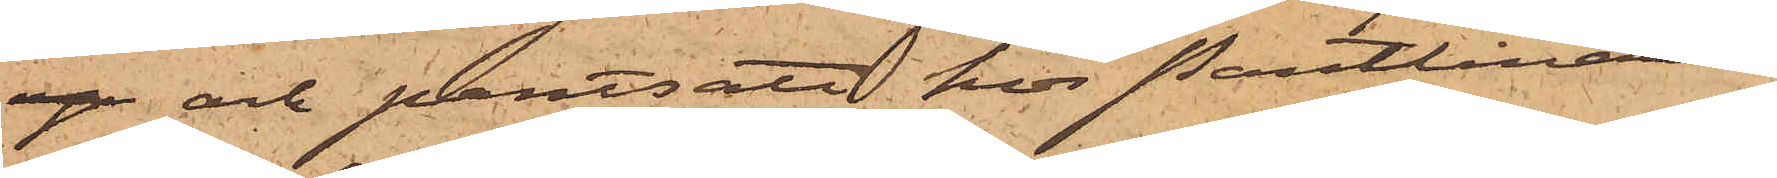up och pantsatt hos Pantlånaren
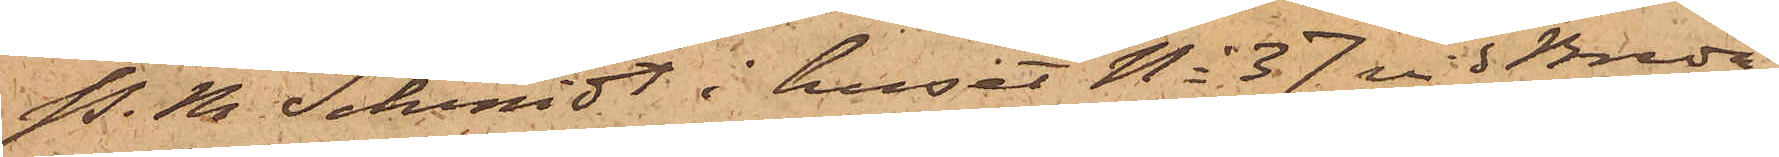P. M. Schmidt i huset No 37 vid Breda
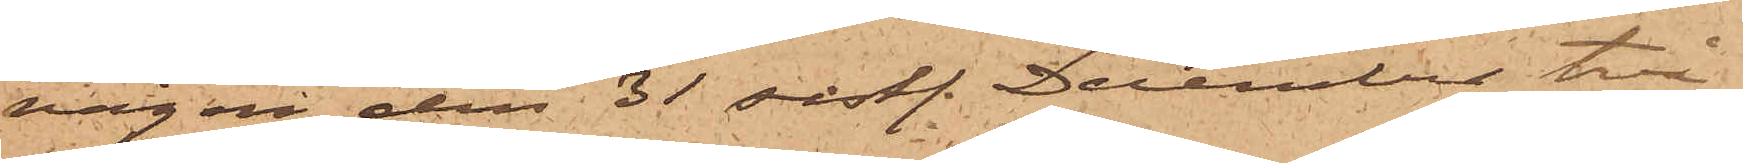vägen den 31 sistl. December två
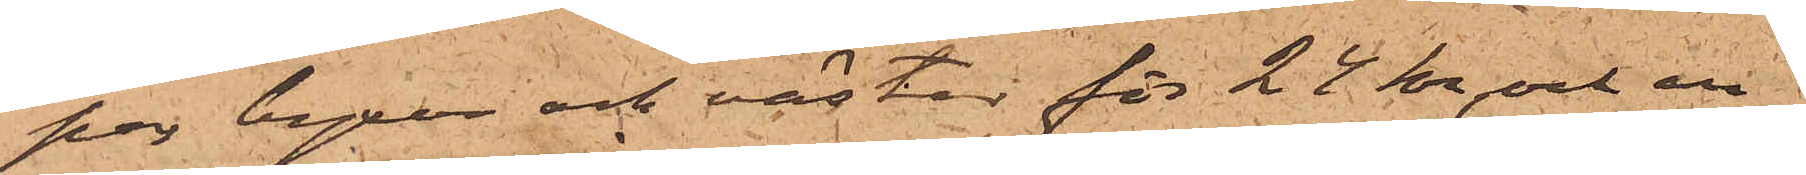par byxor och västar för 24 kr, och en
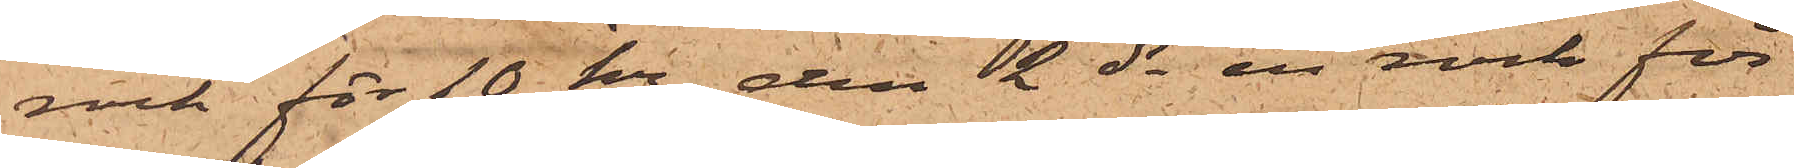rock för 10 kr, den 2 ds en rock för
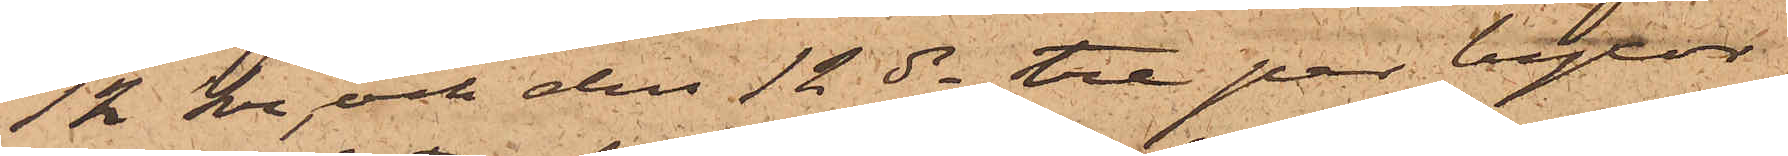12 kr och den 12 ds tre par byxor
